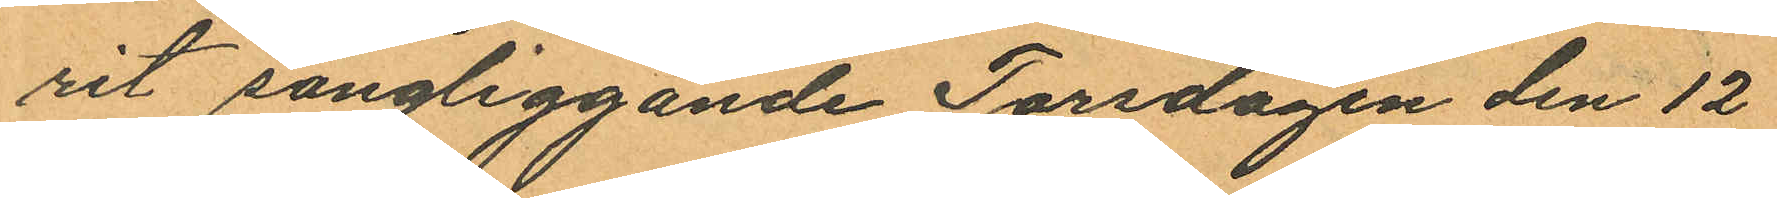rit sängliggande Torsdagen den 12
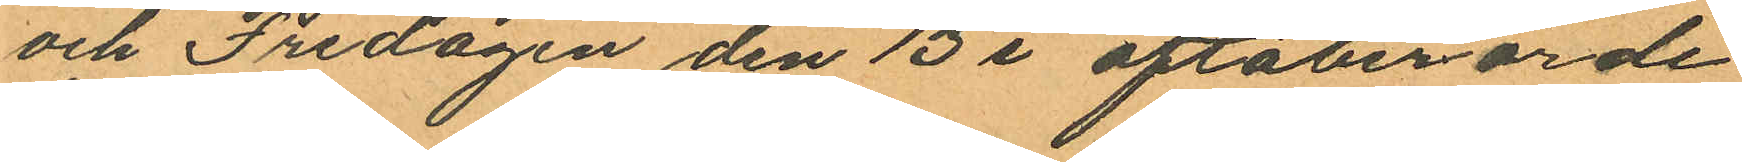och Fredagen den 13 i oftaberörde
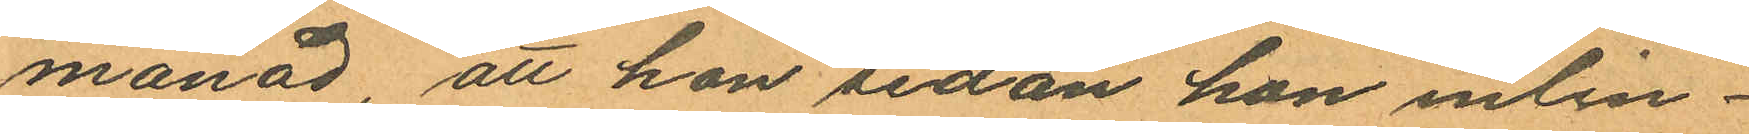månad, att hon sedan hon inlin¬
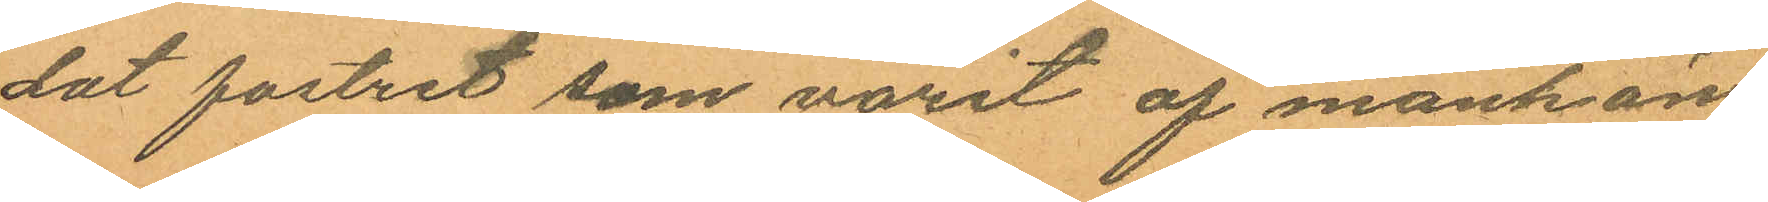dat fostret som varit af mankön
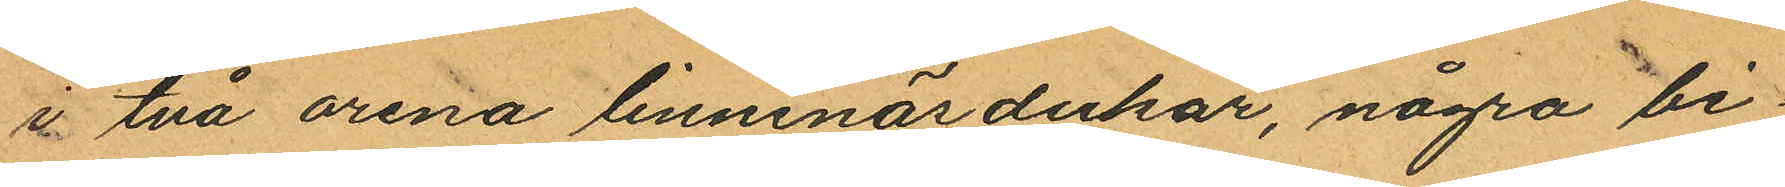i två orena linnenäsdukar, några bi¬
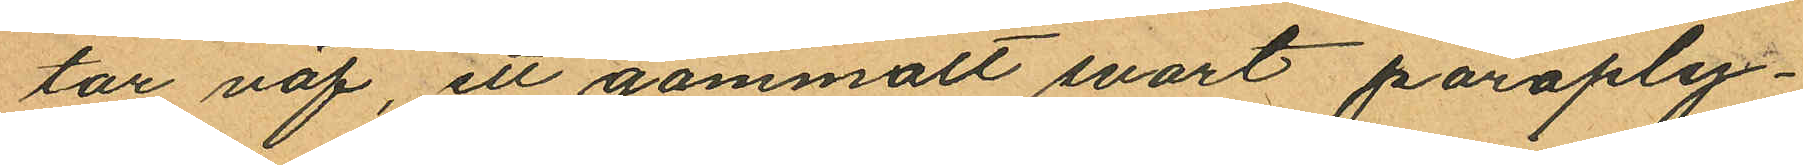tar väf, ett gammalt svart paraply¬
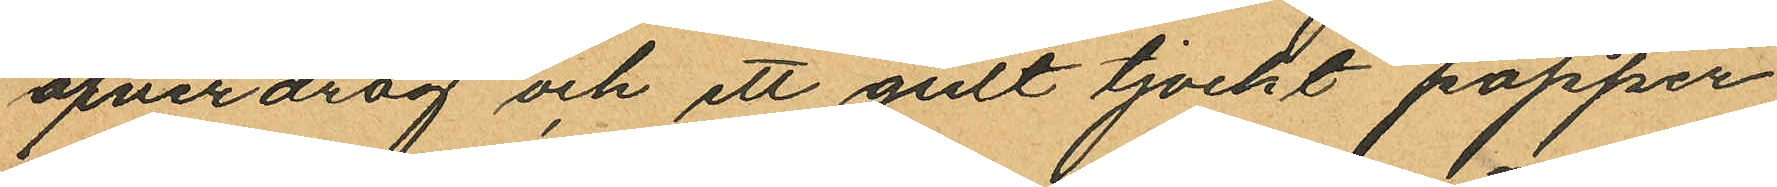öfverdrag och ett gult tjockt papper
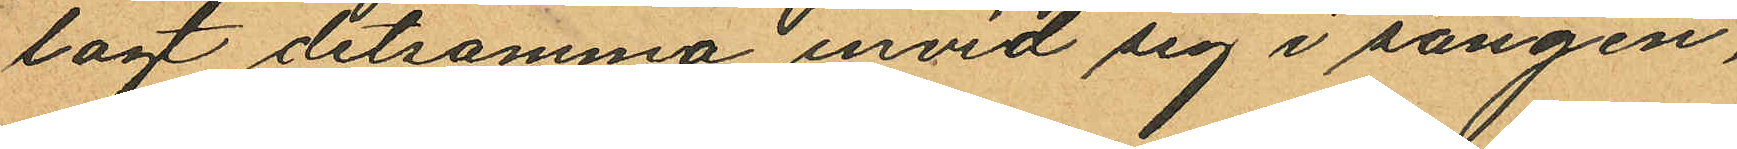lagt detsamma invid sig i sängen,
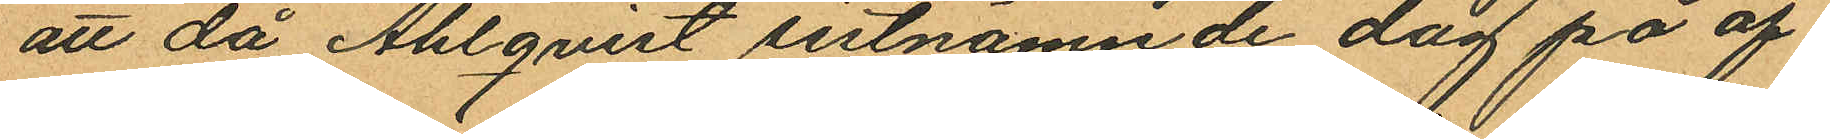att då Ahlqvist sistnämnde dag på af¬
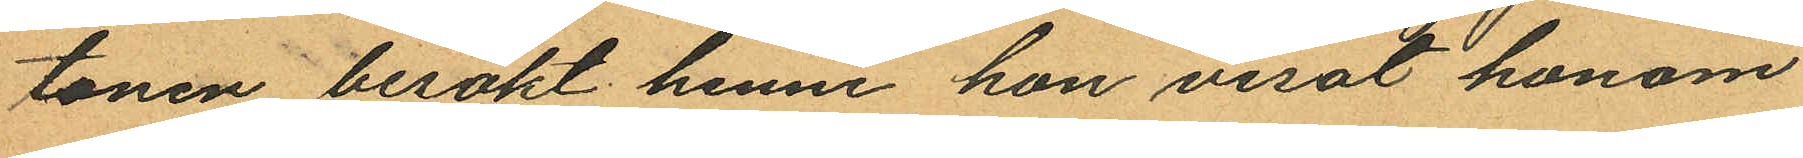tonen besökt henne hon visat honom
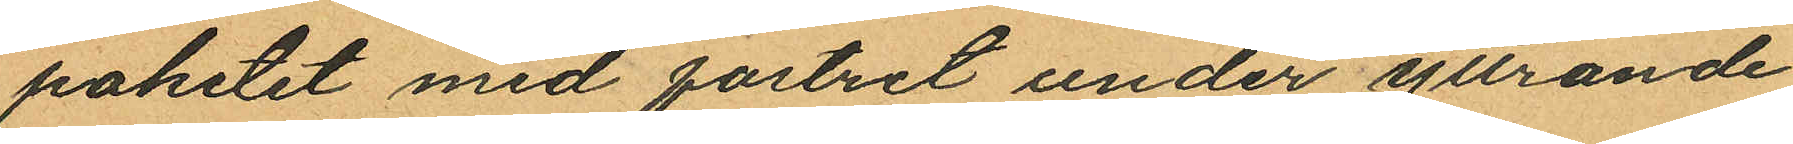paketet med fostret under yttrande
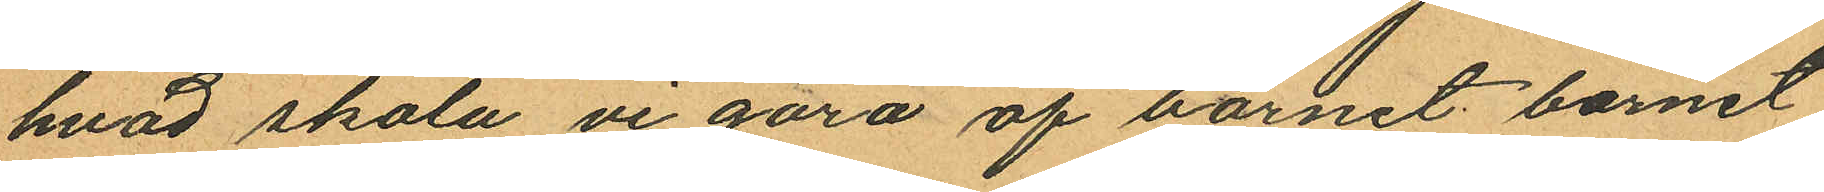hvad skola vi göra af barnet barnet,
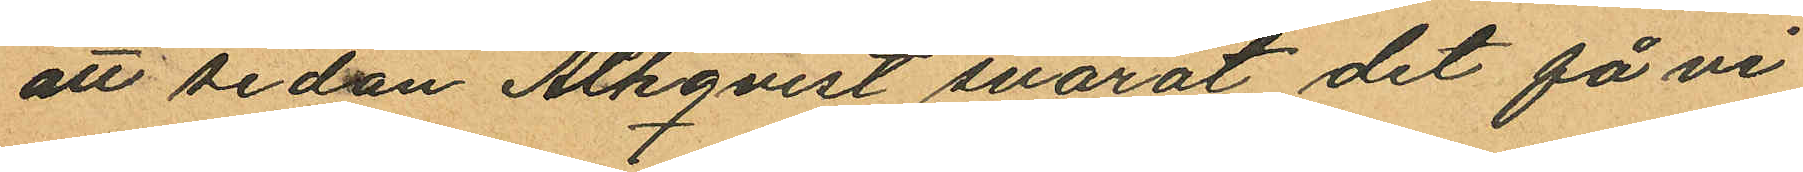att sedan Ahlqvist svarat det få vi
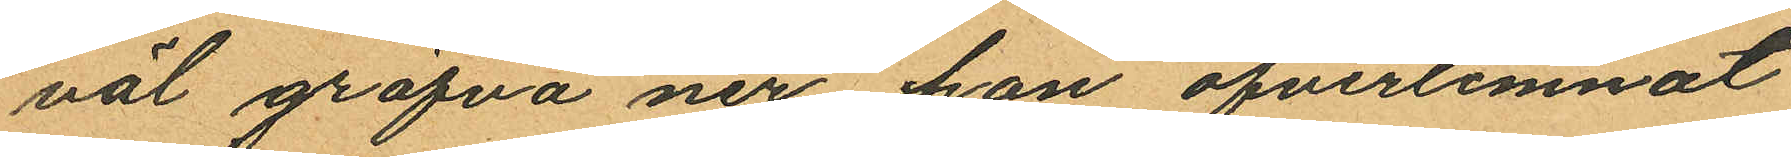väl gräfva ner hon öfverlemnat
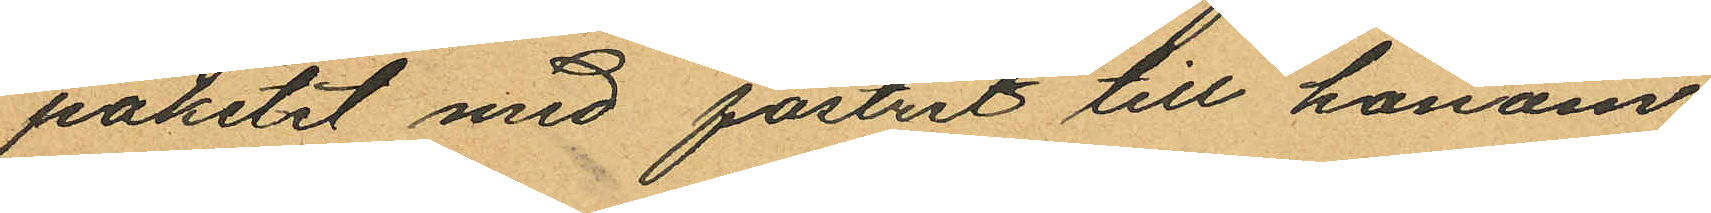paketet med fostret till honom
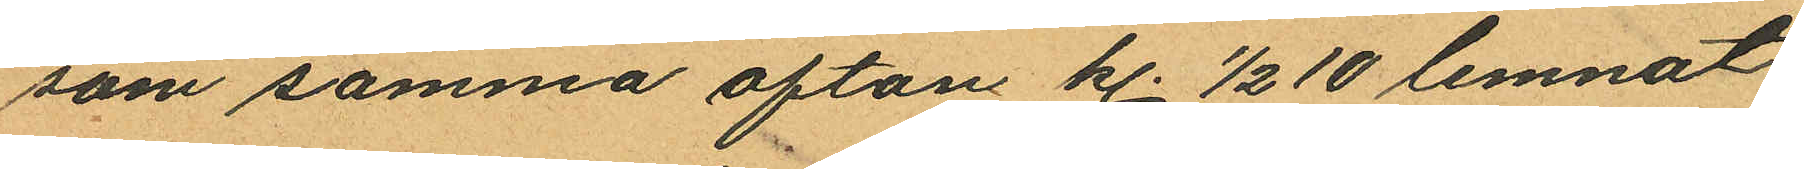som samma afton kl. ½ 10 lemnat
